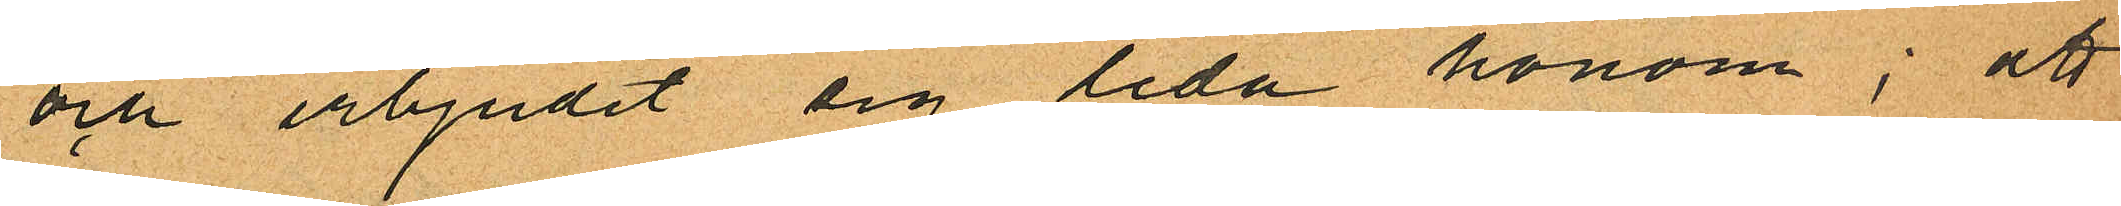och erbjudit sig leda honom; att
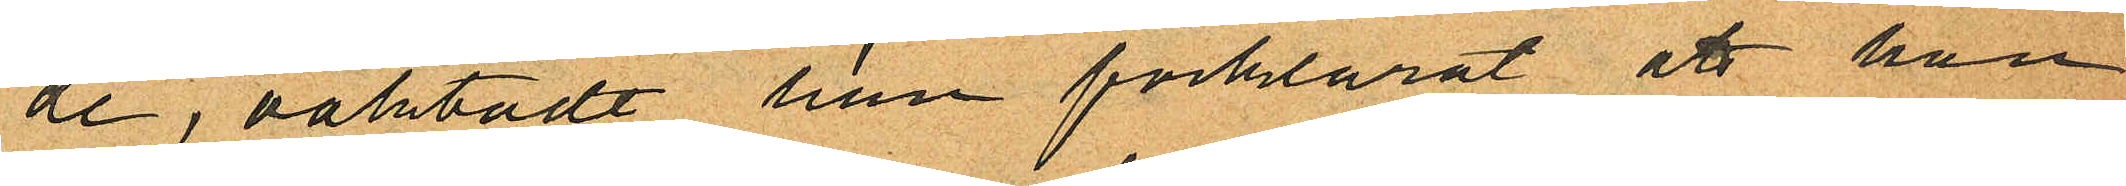de, oaktadt han förklarat att han
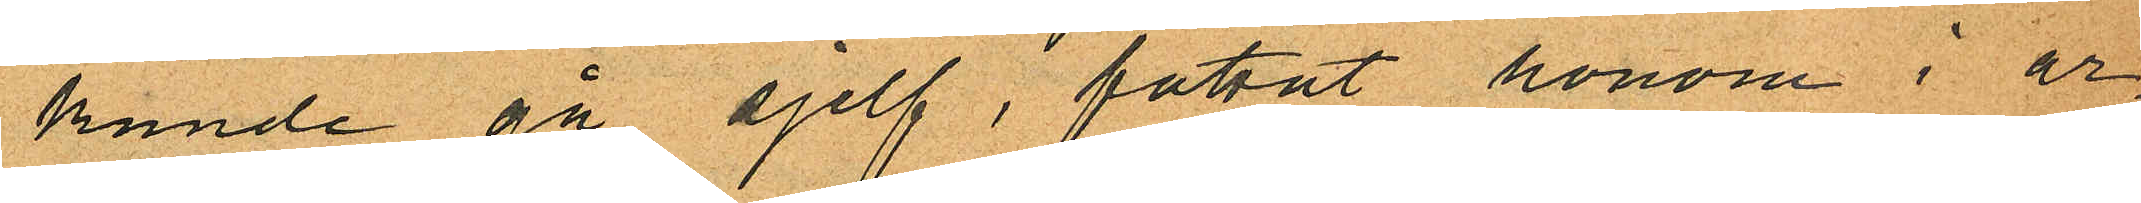kunde gå sjelf, fattat honom i ar¬
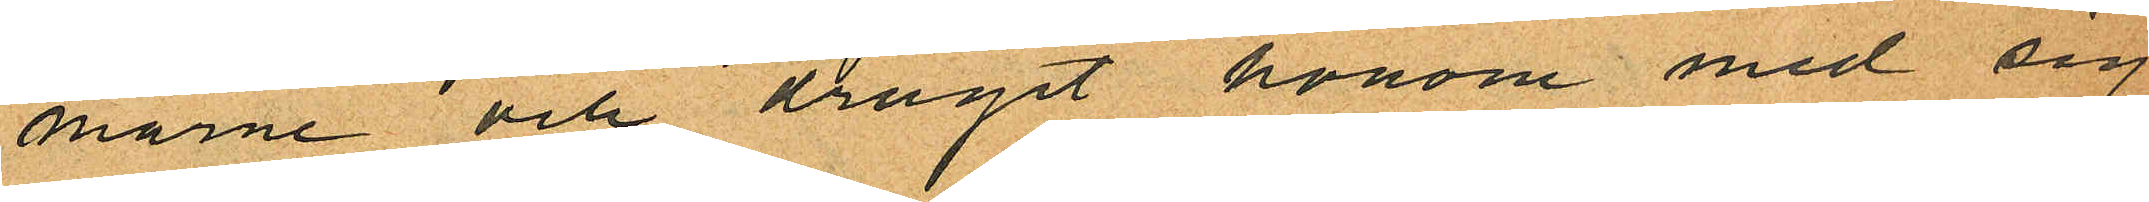marne och dragit honom med sig
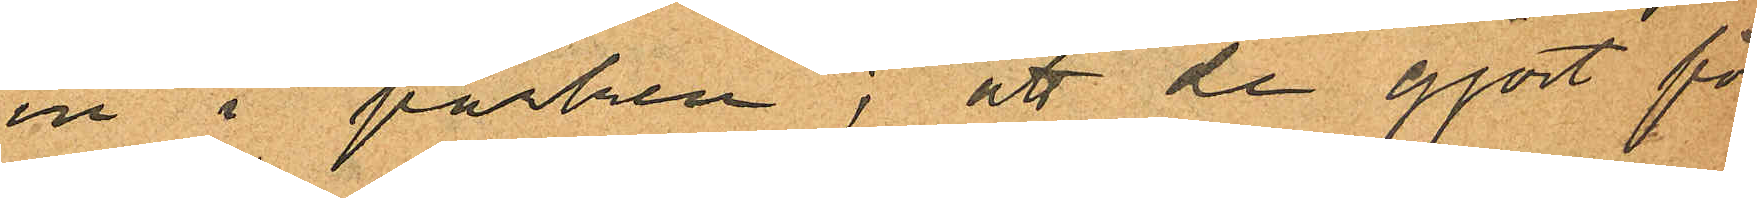in i parken; att de gjort för
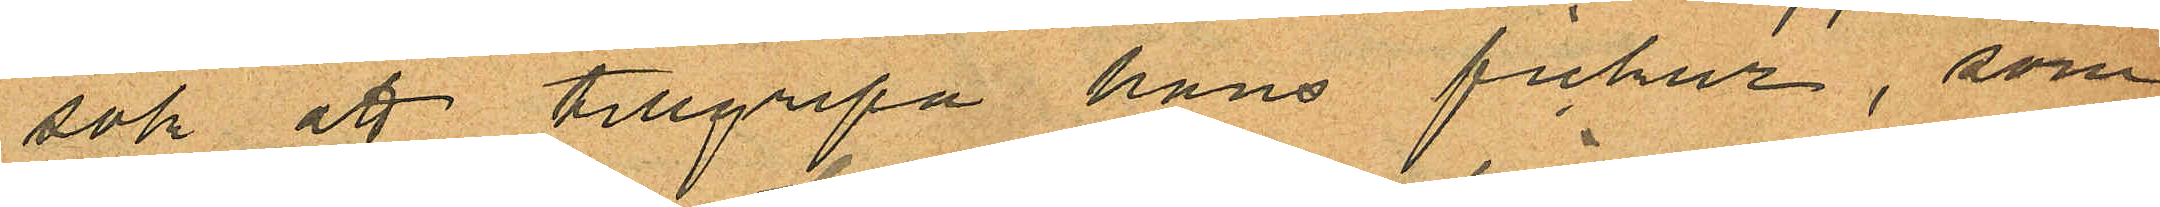sök att tillgripa hans fickur, som
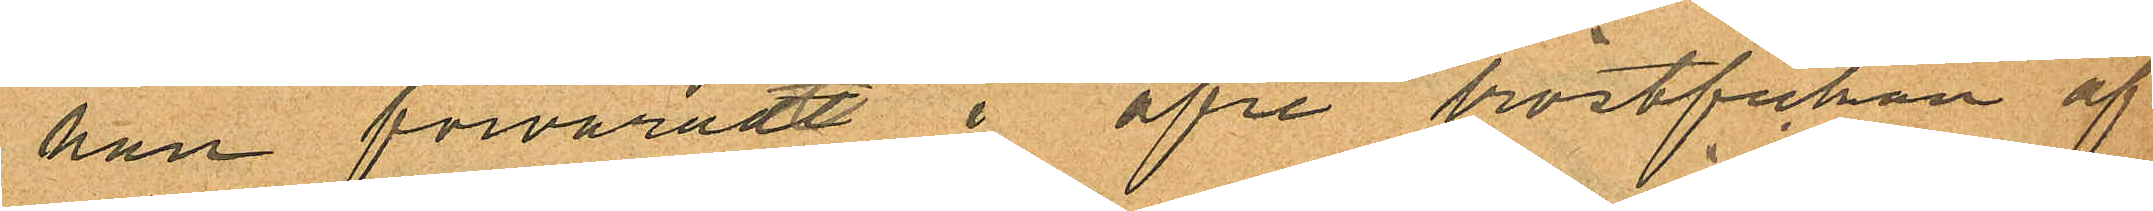han förvaradt i öfre bröstfickan af
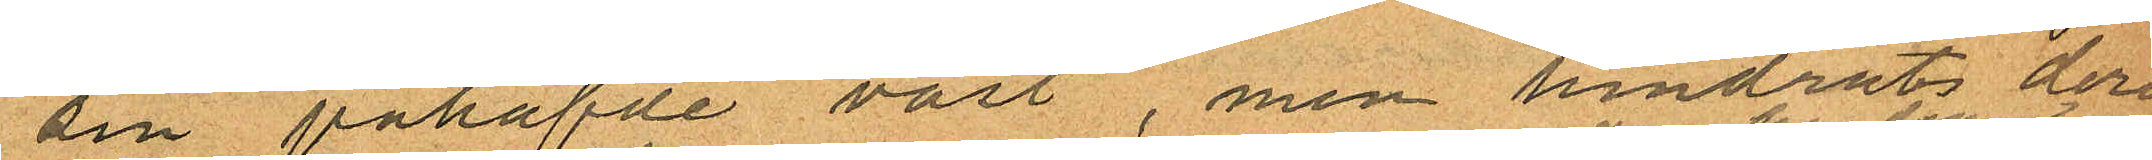sin påhafde väst, men hindrats deri
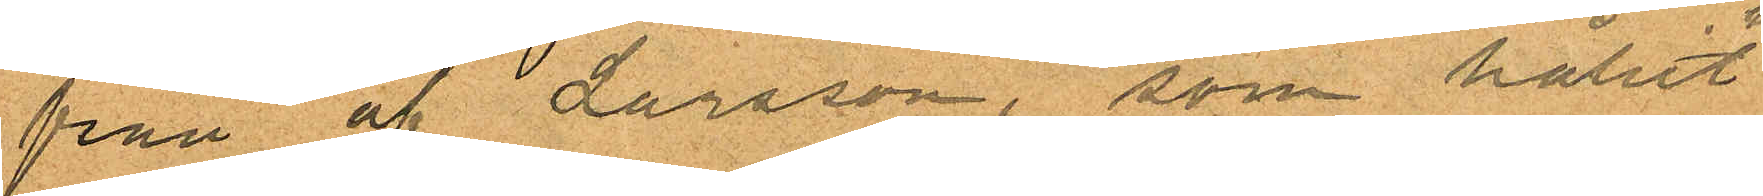från af Larsson, som hållit
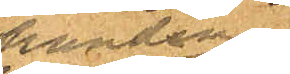handen
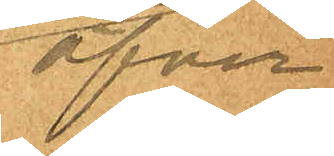öfver
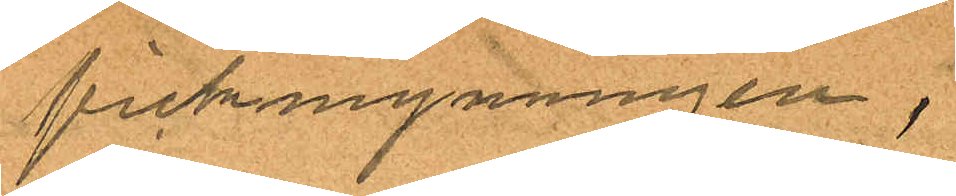fickmynningen,
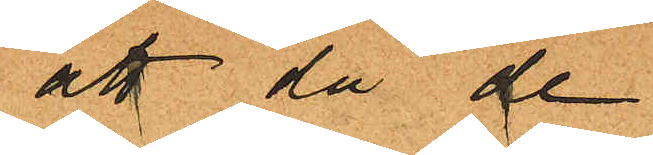att då de
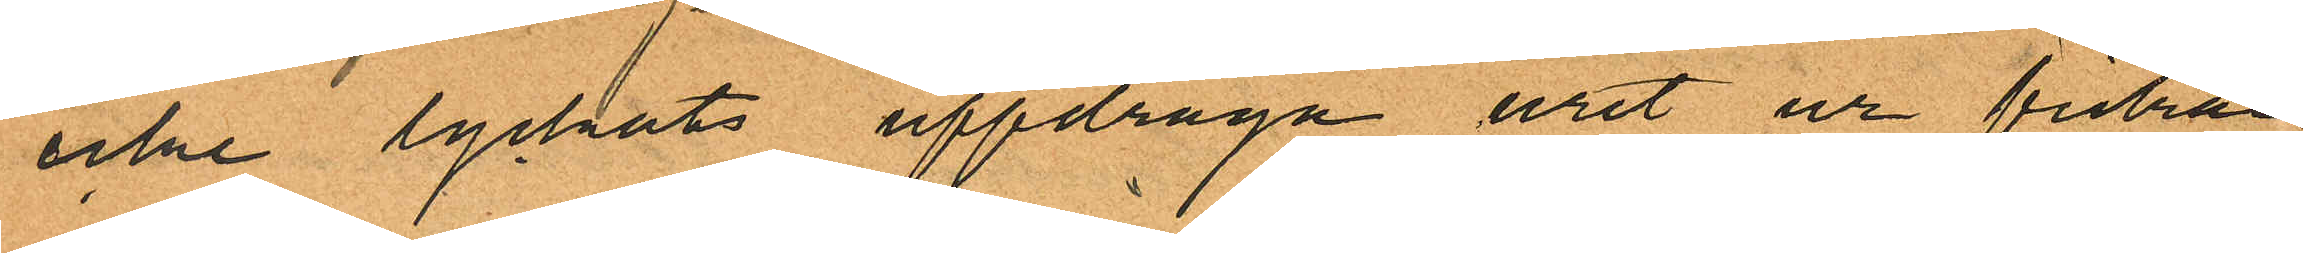icke lyckats uppdraga uret ur fickan
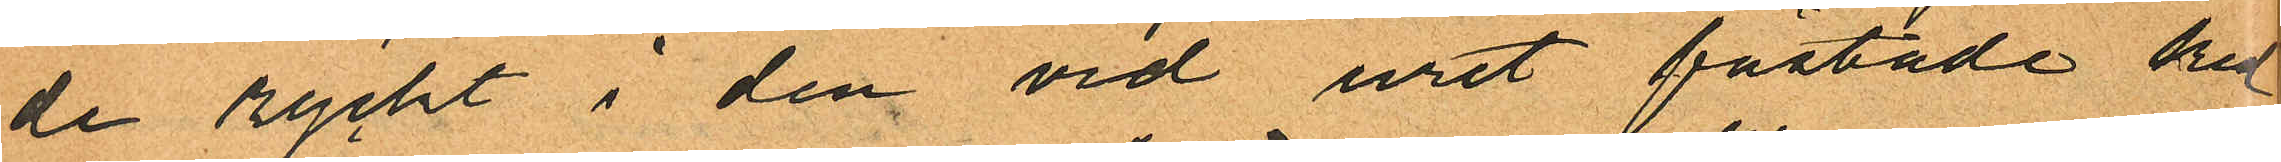de ryckt i den vid uret fästade ked
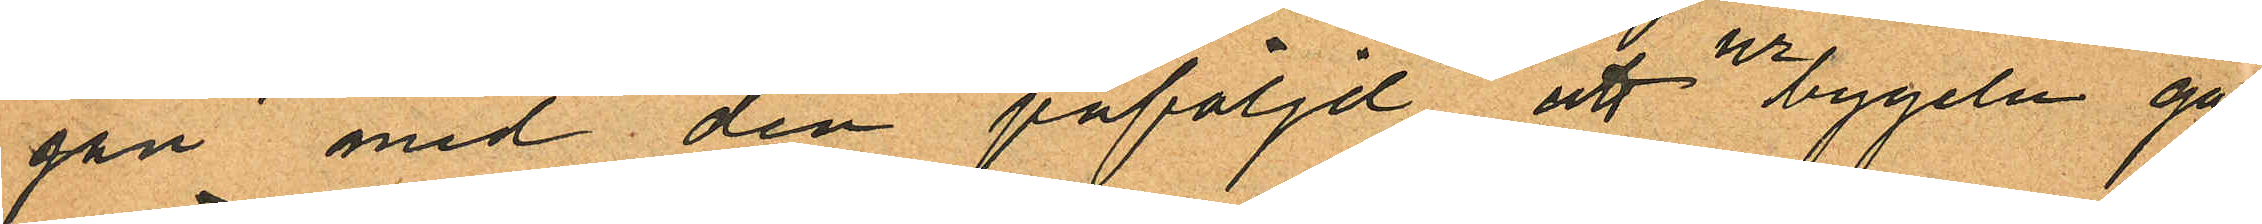jan med den påföljd att urbygeln gått
